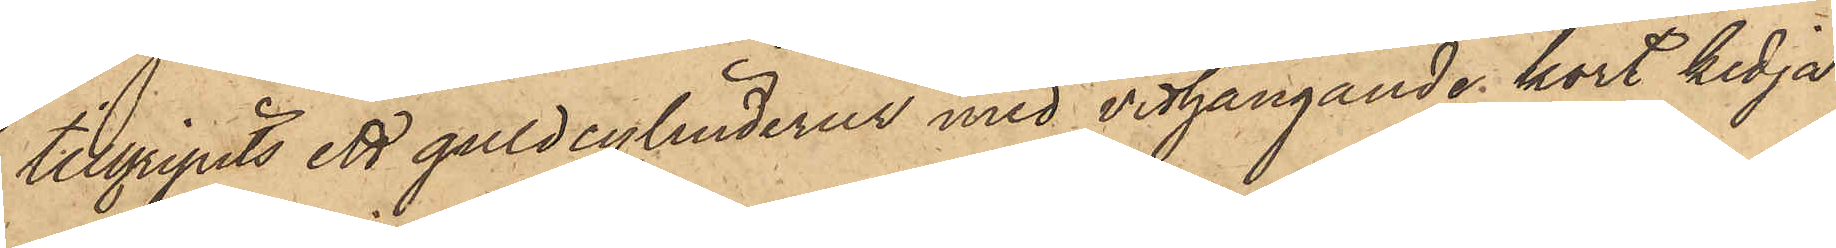tillgripits ett guldcylinderur med vidhängande kort kedja
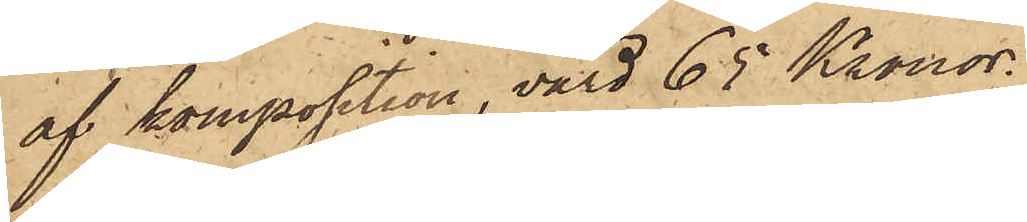af komposition, värd 65 Kronor.
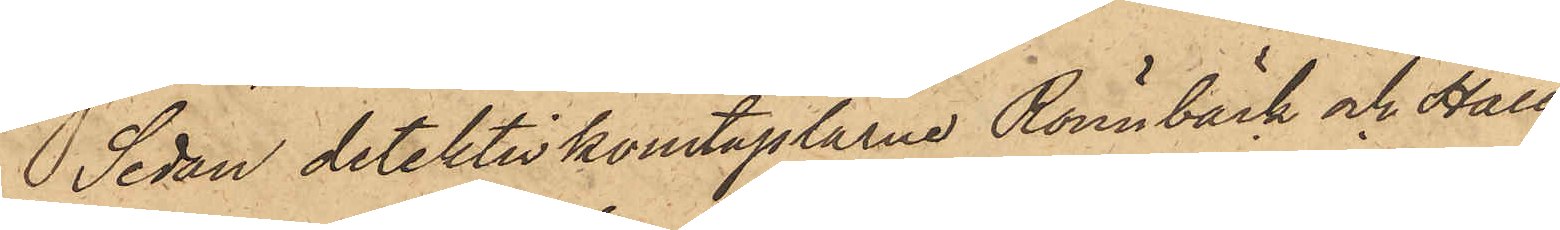Sedan detektivkonstaplarne Rönnbäck och Häll¬
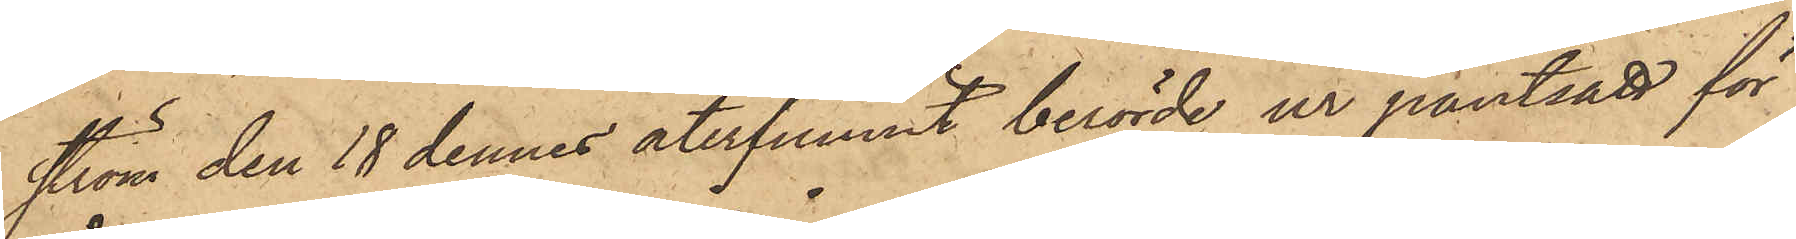ström den 18 dennes återfunnit berörde ur pantsatt för
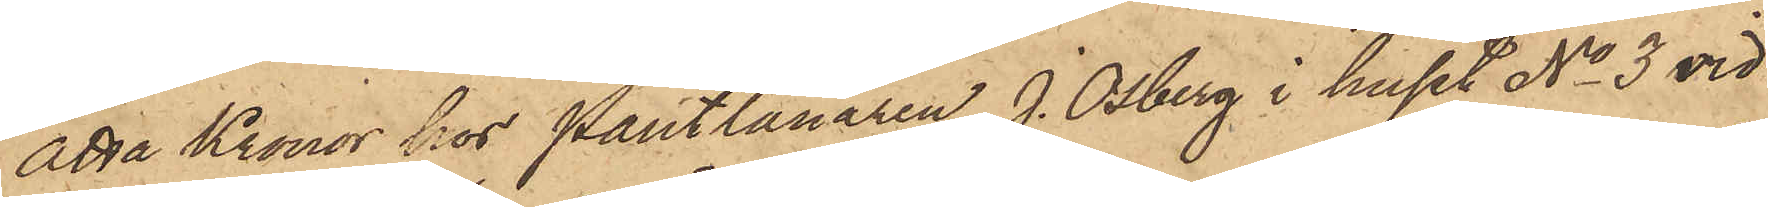åtta Kronor hos Pantlånaren J. Osberg i huset No 3 vid
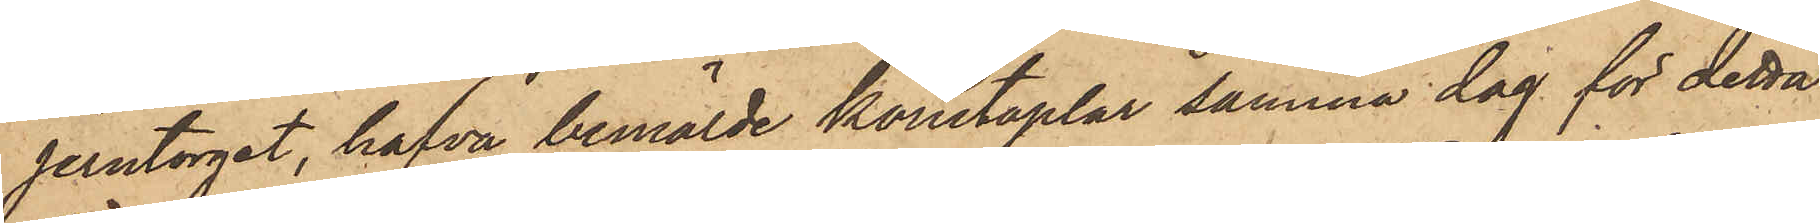Jerntorget, hafva bemälde konstaplar samma dag för detta
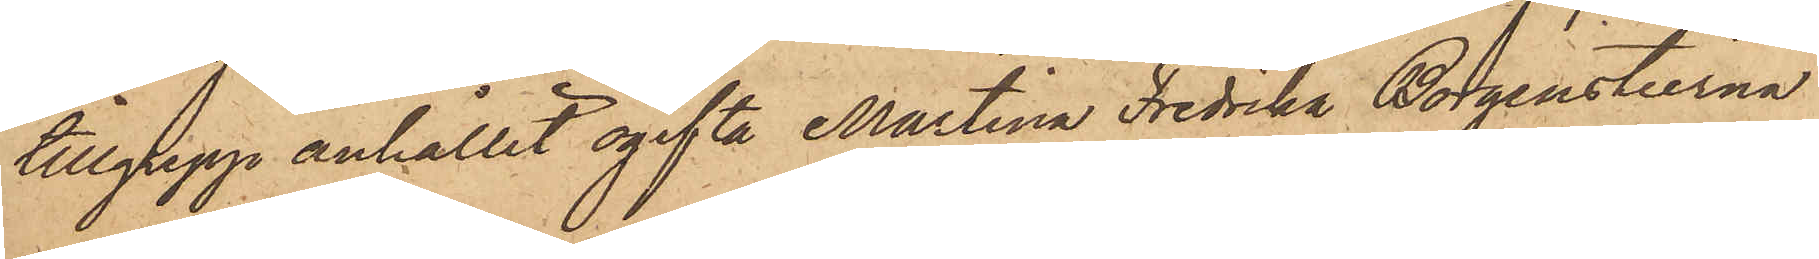tillgrepp anhållit ogifta Martina Fredrika Borgenstierna
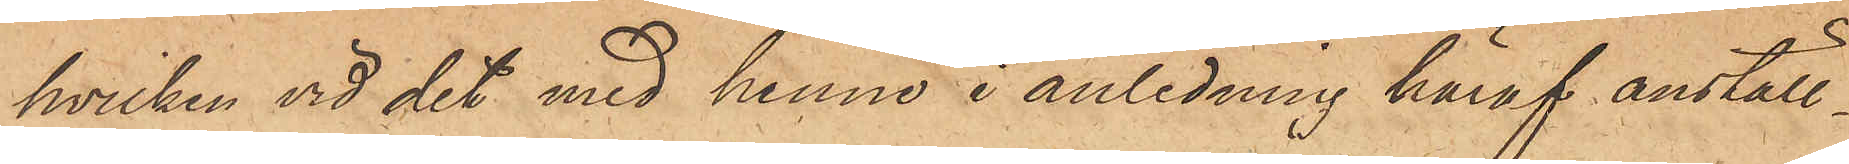hvilken vid det med henne i anledning häraf anställ¬
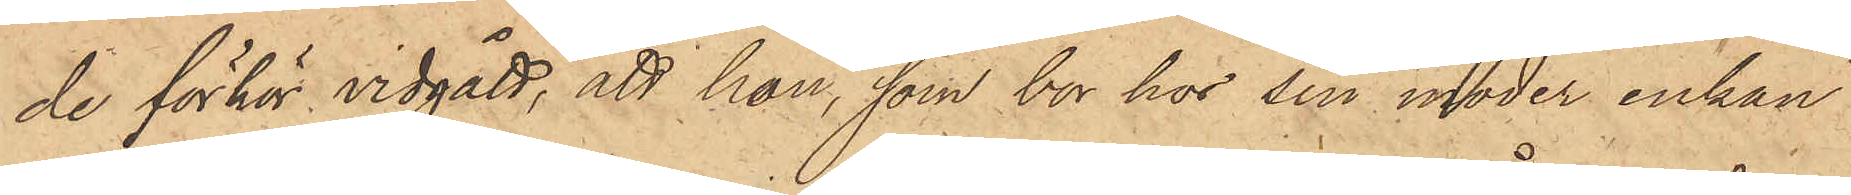de förhör vidgått, att hon, som bor hos sin moder enkan
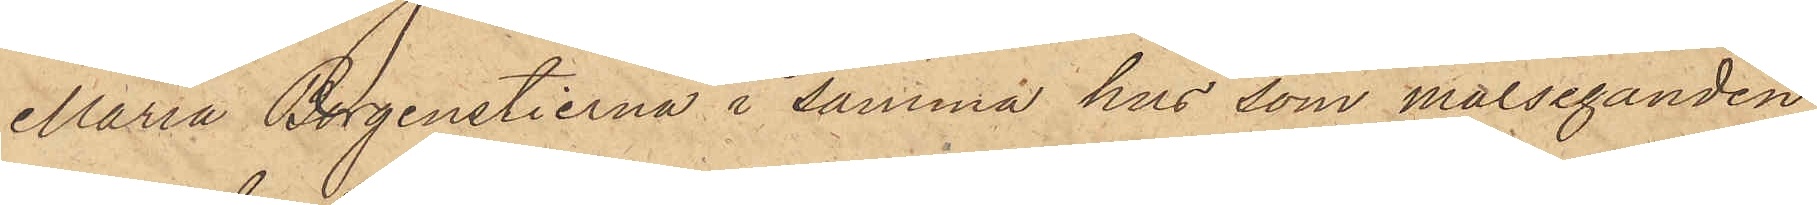Maria Borgenstierna i samma hus som målseganden,
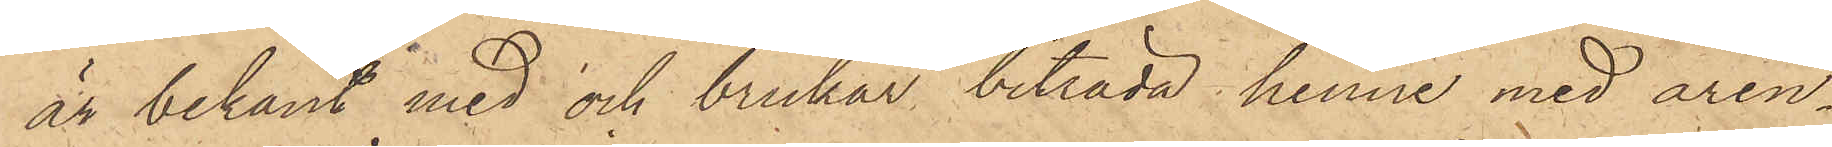är bekant med och brukar biträda henne med ären¬
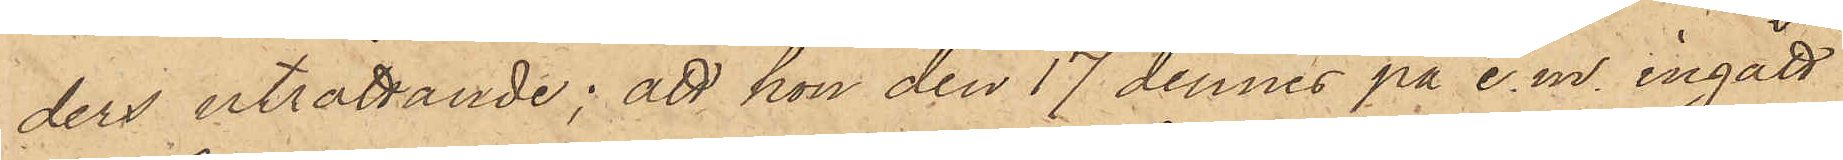dens uträttande; att hon den 17 dennes på e.m. ingått
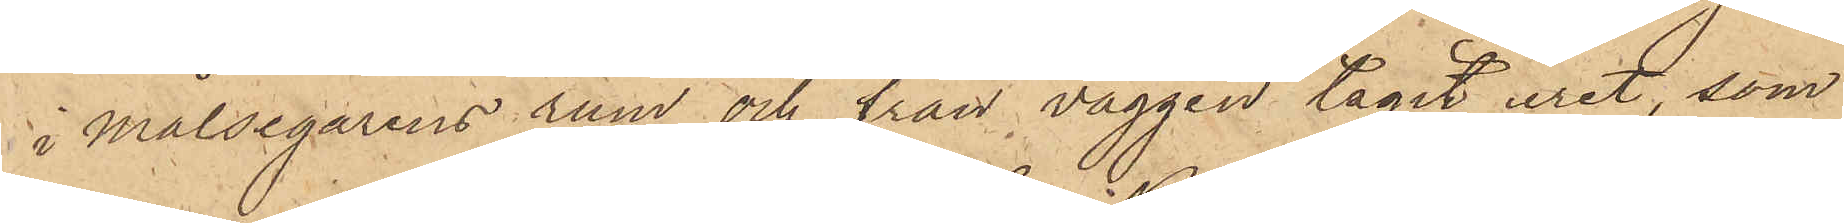i Målsegarens rum och från väggen tagit uret, som
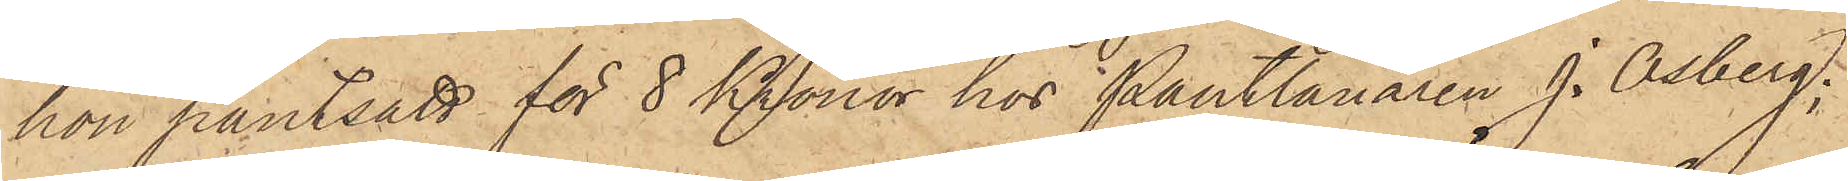hon pantsatt för 8 Kronor hos Pantlånaren J. Osberg;
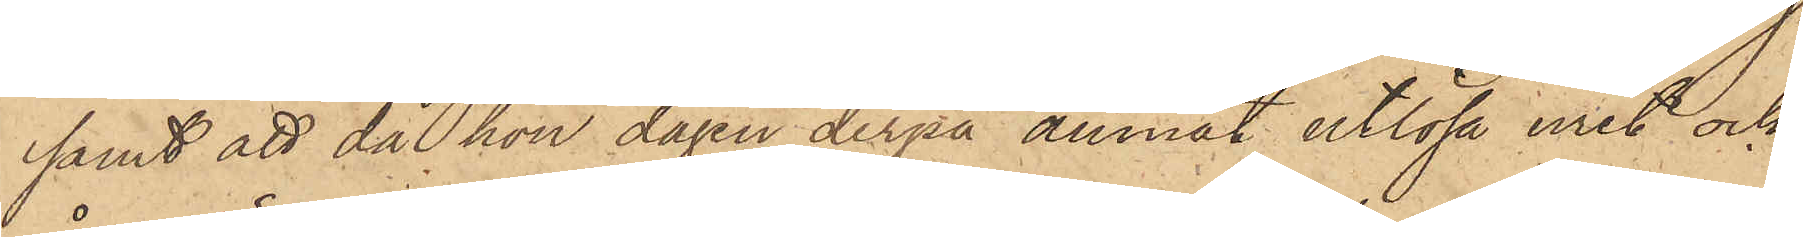samt att då hon dagen derpå ämnat utlösa uret och
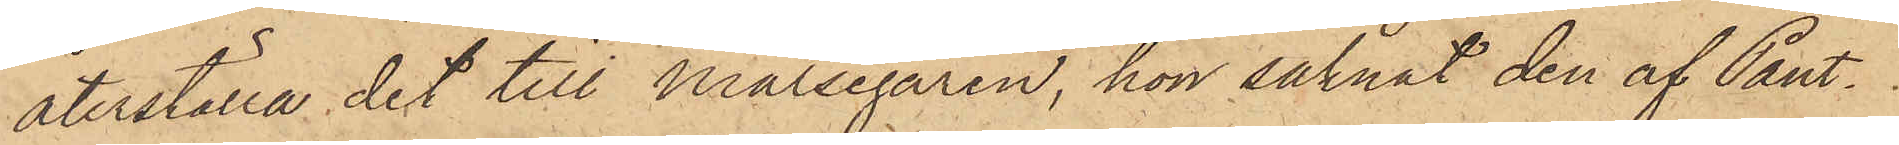återställa det till Målsegaren, hon saknat den af Pant¬
